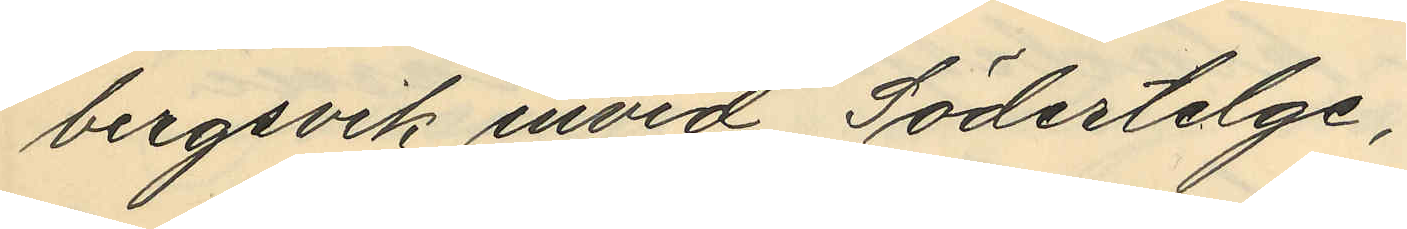bergsvik invid Södertelge,
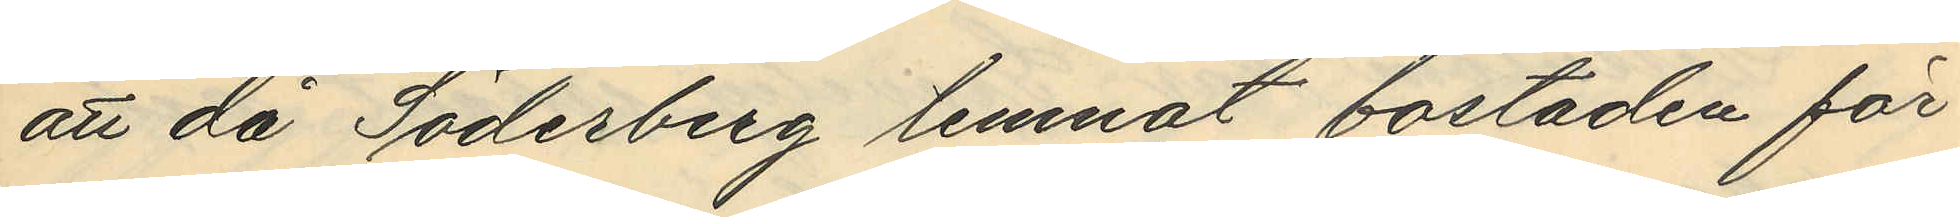att då Söderberg lemnat bostaden för
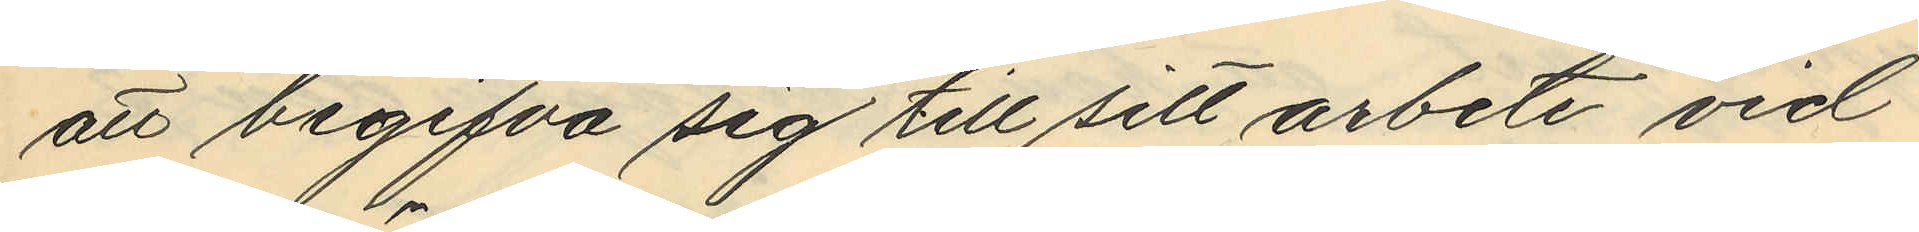att begifva sig till sitt arbete vid
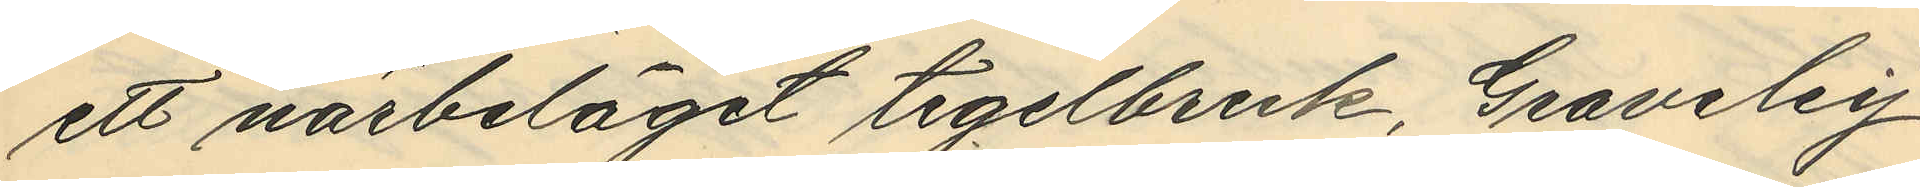ett närbeläget tegelbruk, Graveley
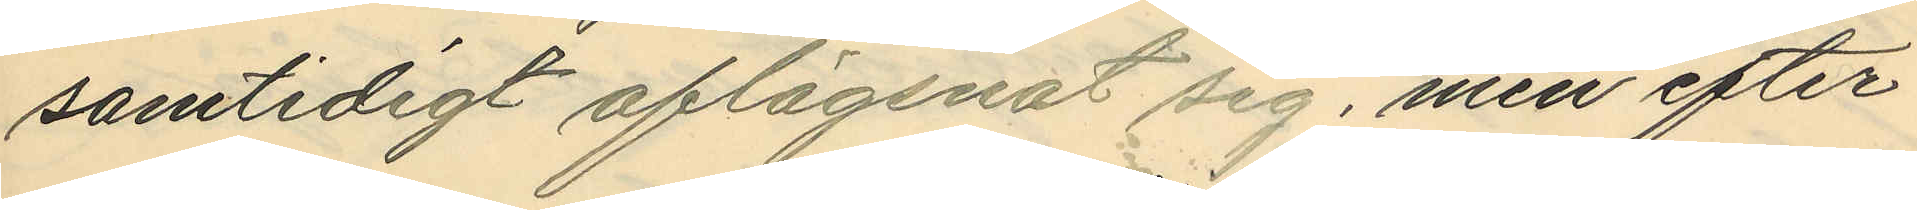samtidigt aflägsnat sig, men efter
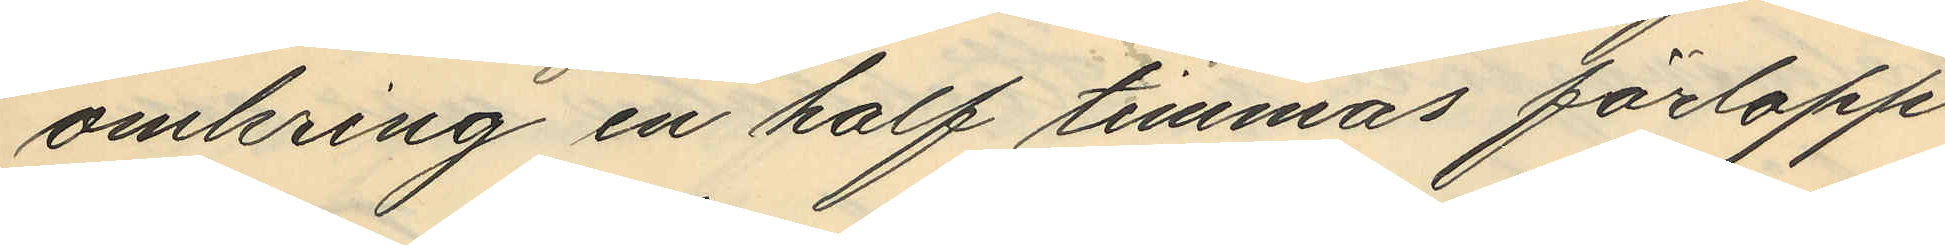omkring en half timmas förlopp
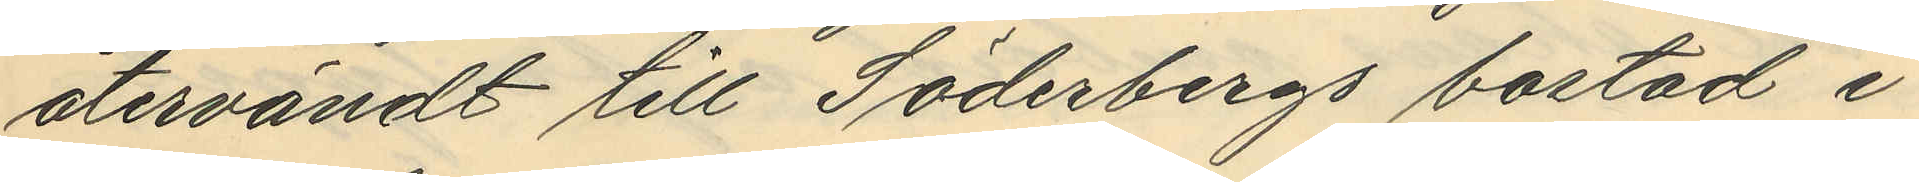återvändt till Söderbergs bostad i
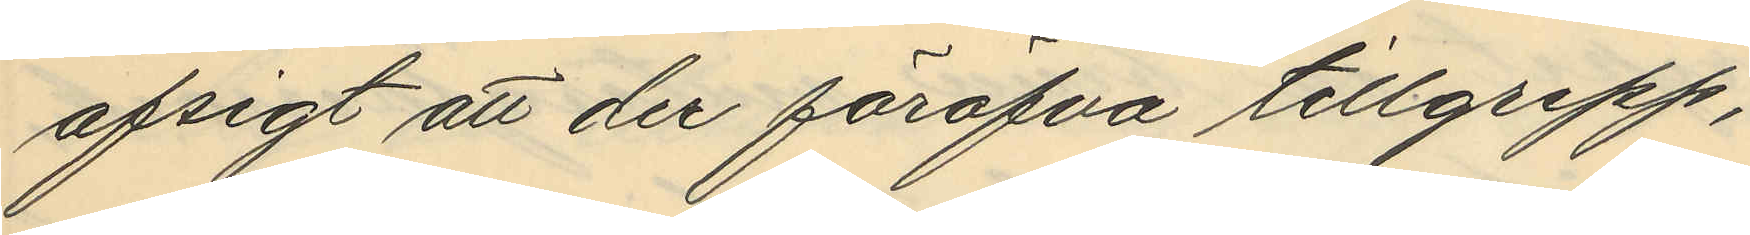afsigt att der föröfva tillgrepp,
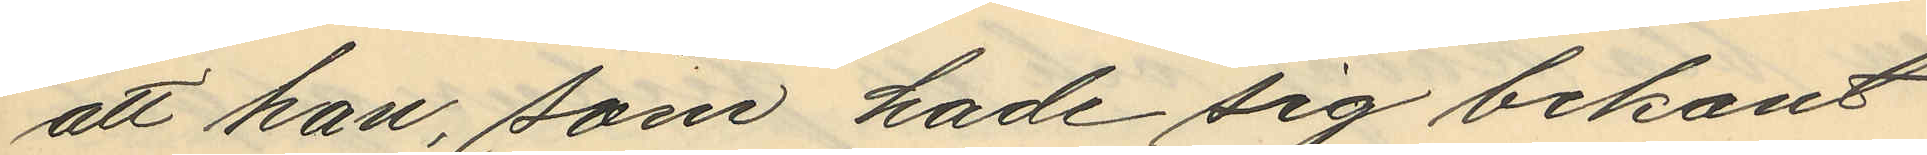att han, som hade sig bekant
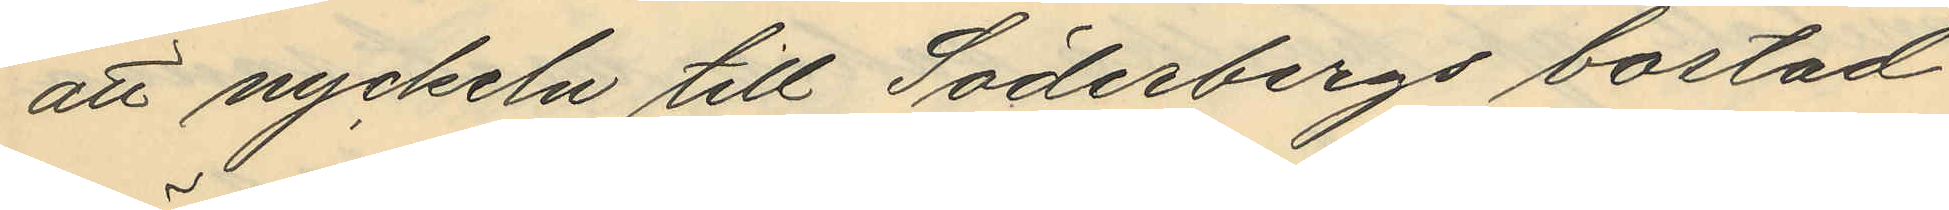att nyckeln till Söderbergs bostad
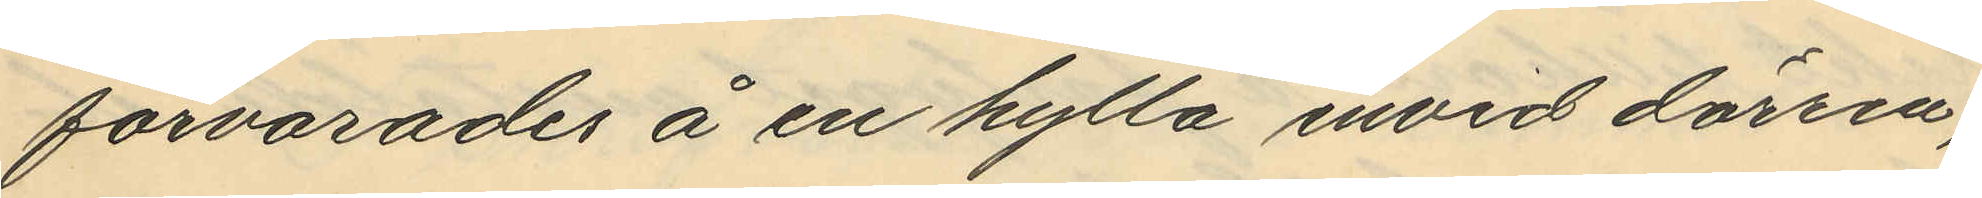förvarades å en hylla invid dörren;
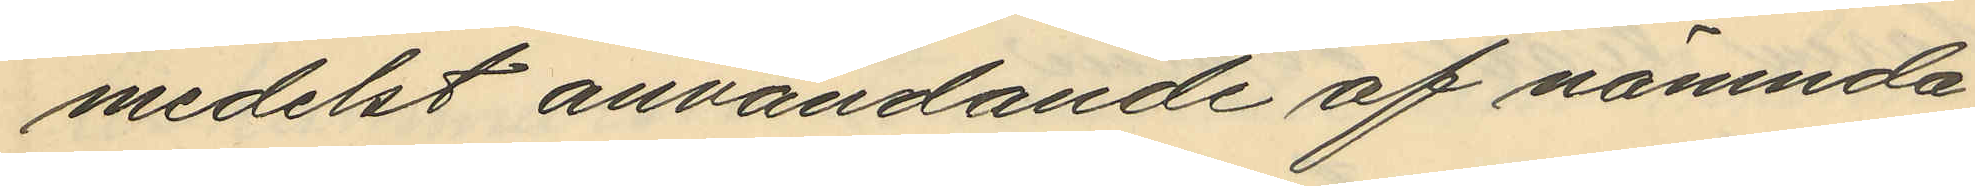medelst användande af nämnda
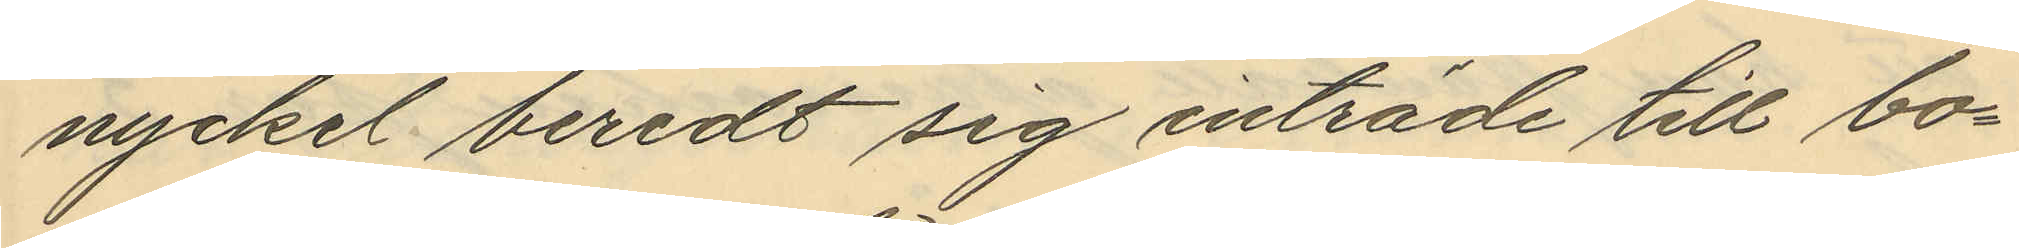nyckel beredt sig inträde till bo¬
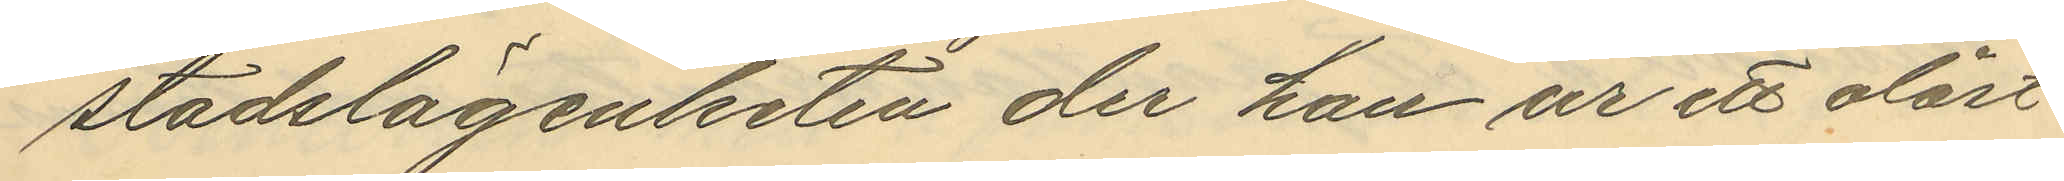stadslägenheten der han ur ett olåst
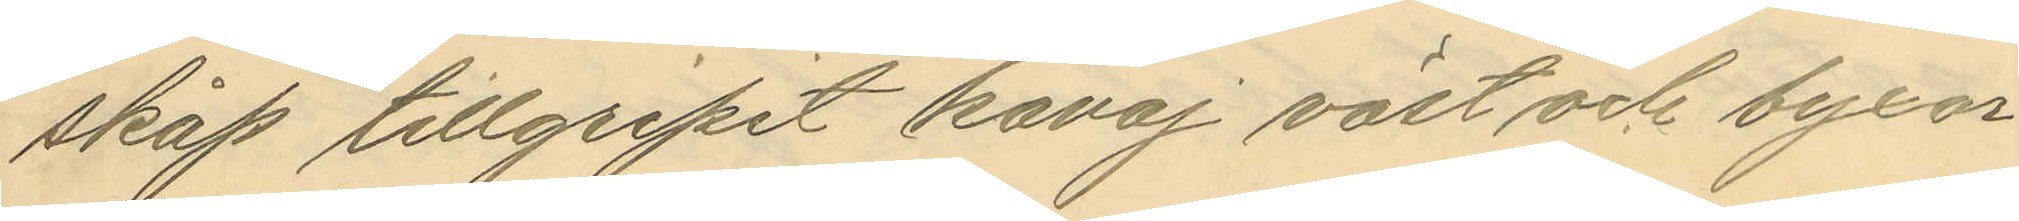skåp tillgripit kavaj väst och byxor
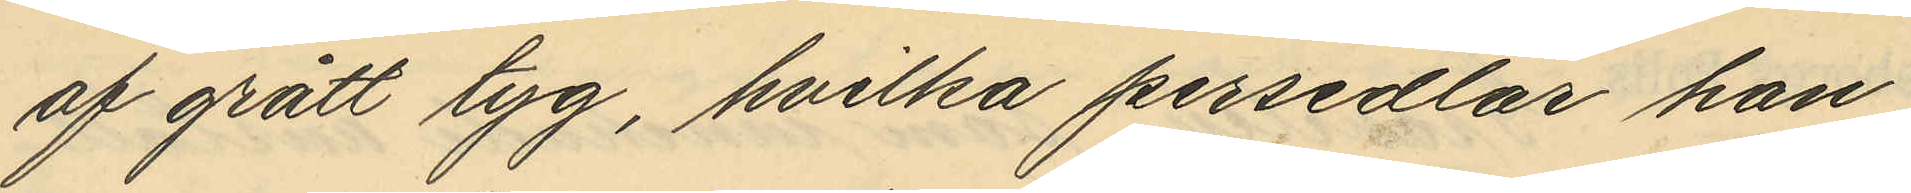af grått tyg, hvilka persedlar han
